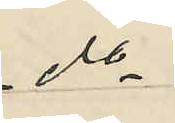do
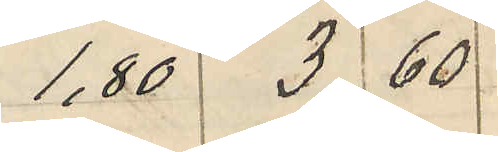1.80 3 60
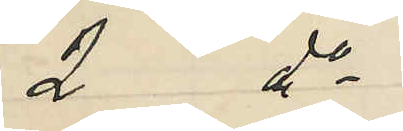2 do
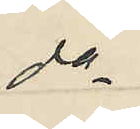do
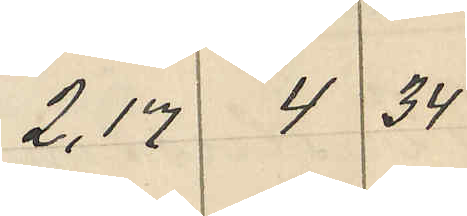2,17 4 34
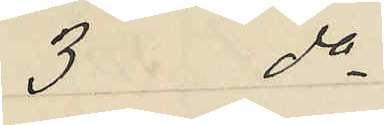3 do
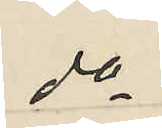do
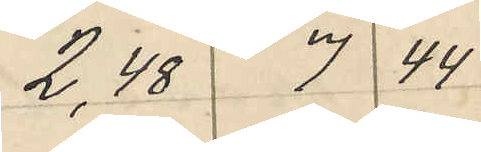2,48 7 44
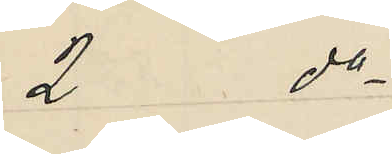2  do
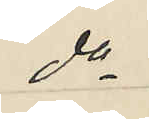do
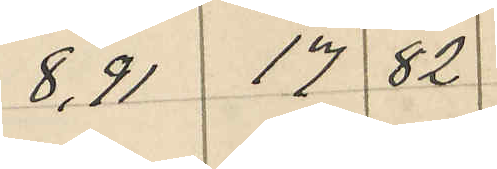8,91 17 82
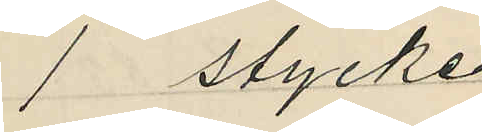1 stycke
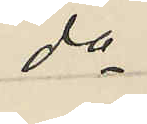do
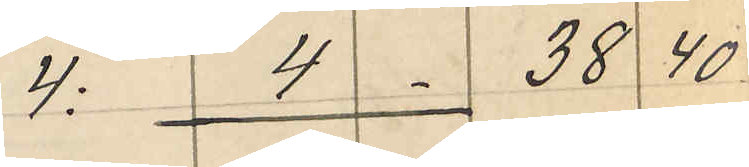4: 4 38 40
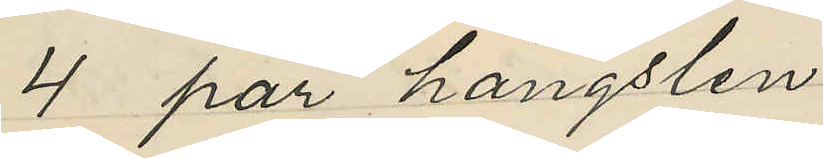4 par hängslen
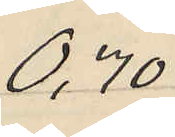0,70
